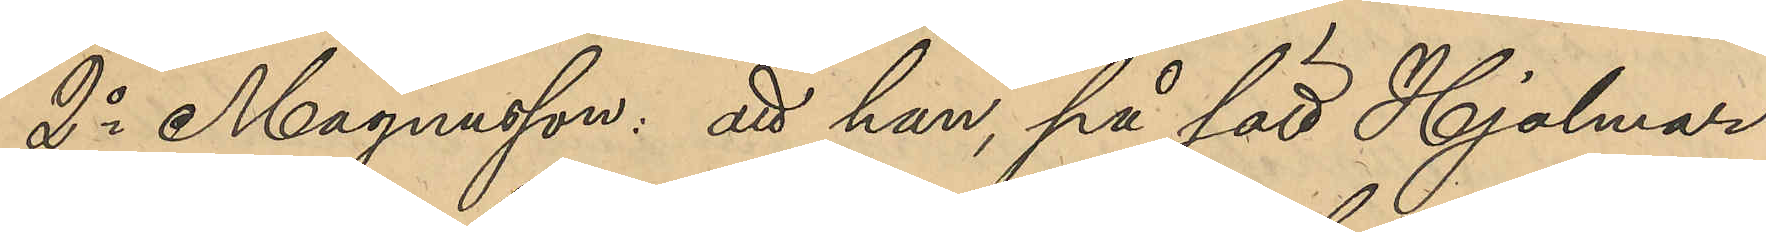2o Magnusson: att han på sätt Hjalmar
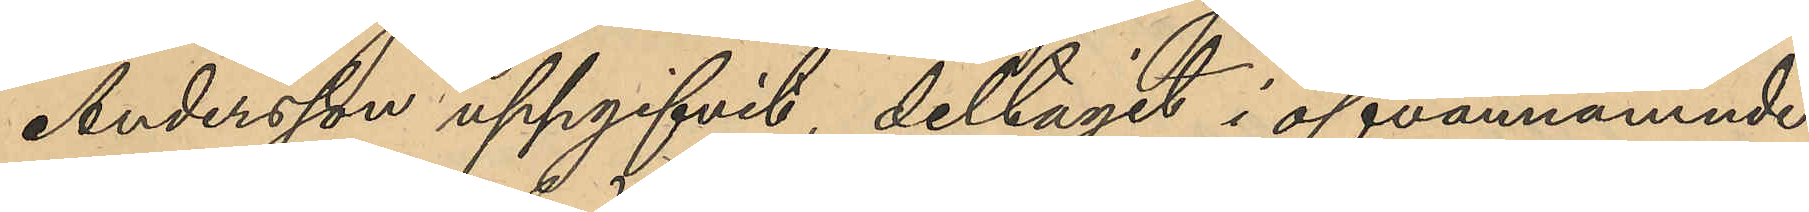Andersson uppgifvit, deltagit i ofvannämnde
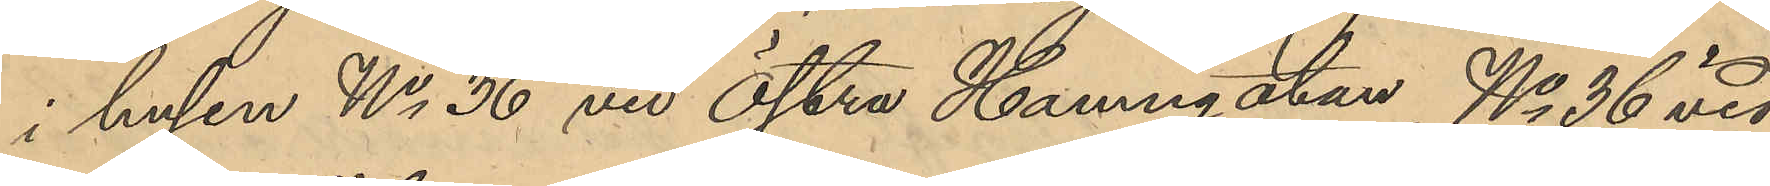i husen No 36 vid Östra Hamngatan, No 36 vid
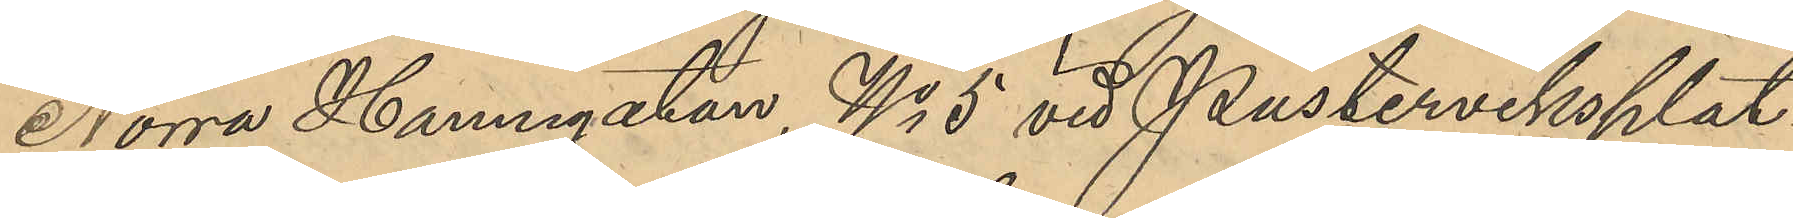Norra Hamngatan, No 5 vid Pusterviksplat¬
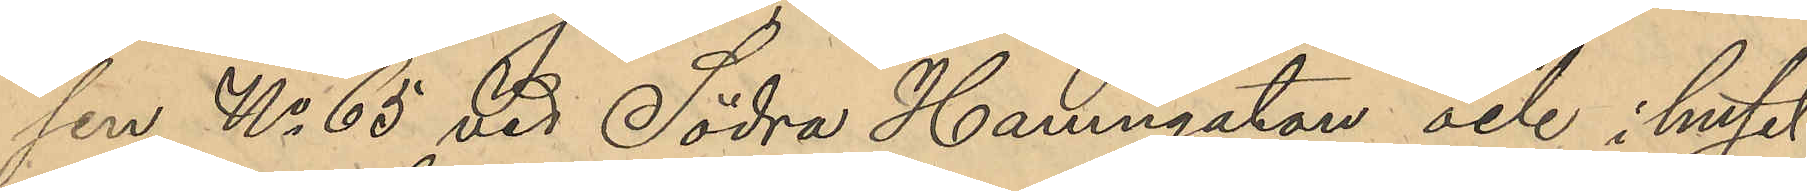sen, No 65 vid Södra Hamngatan och huset
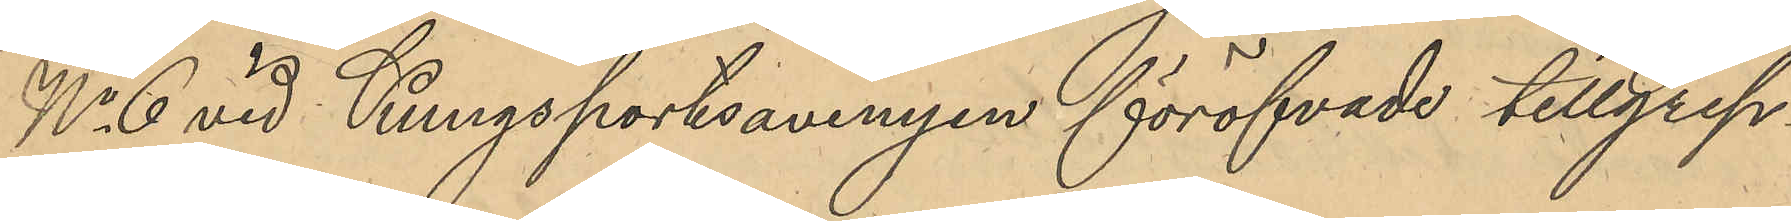No 6 vid Kungsportsavenyen föröfvade tillgrep¬
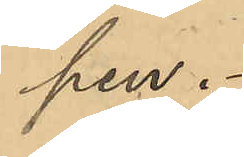pen.
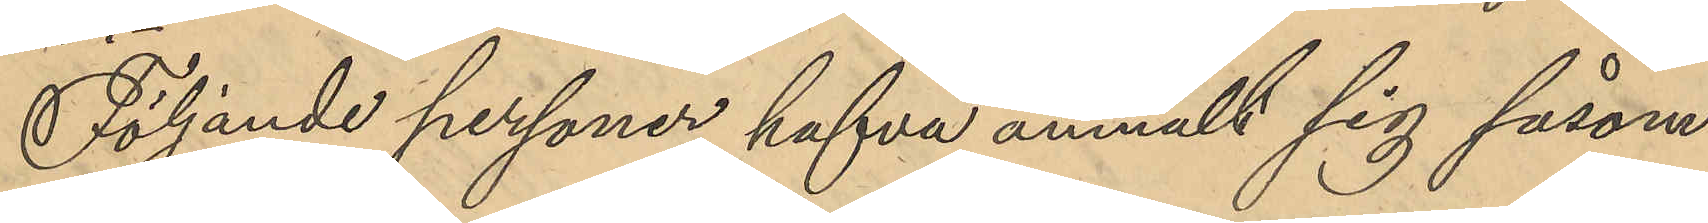Följande personer hafva anmält sig såsom
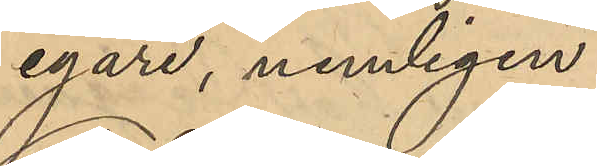egare, nemligen:
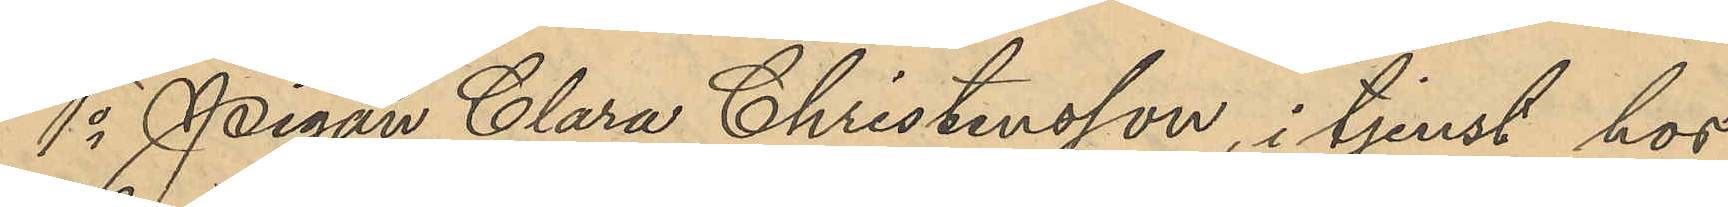1o Pigan Clara Christensson, i tjenst hos
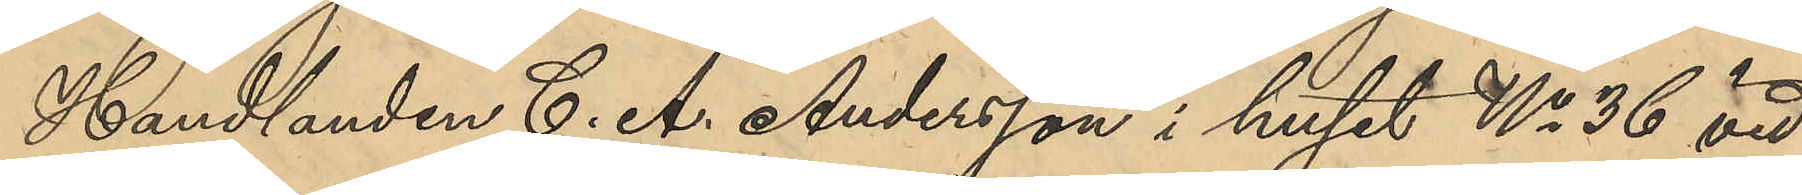Handlanden C. A. Andersson i huset No 36 vid
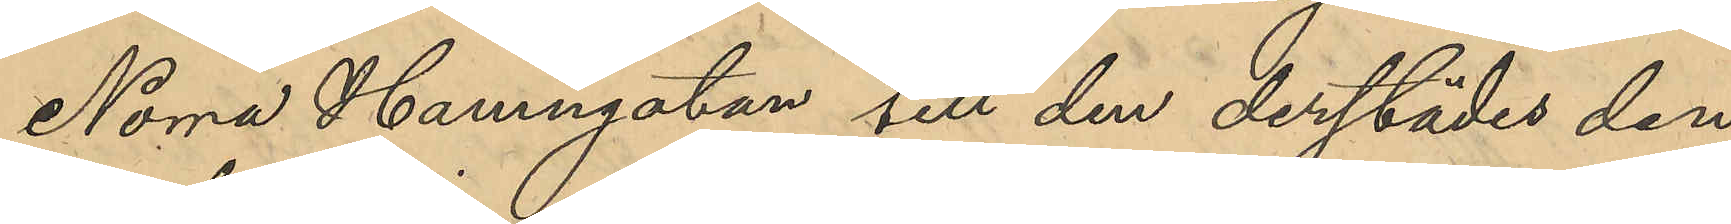Norra Hamngatan till den derstädes den 
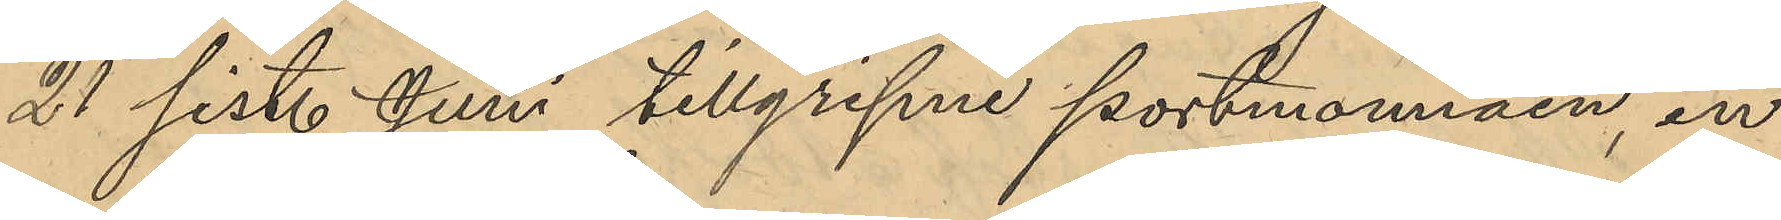21 sist. Juni tillgripne portmonnäen, in¬
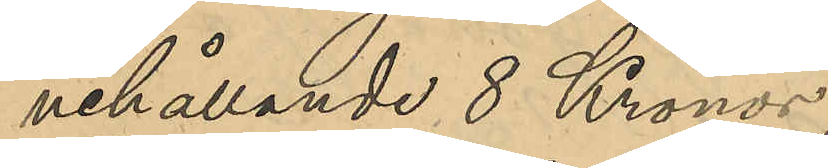nehållande 8 Kronor;
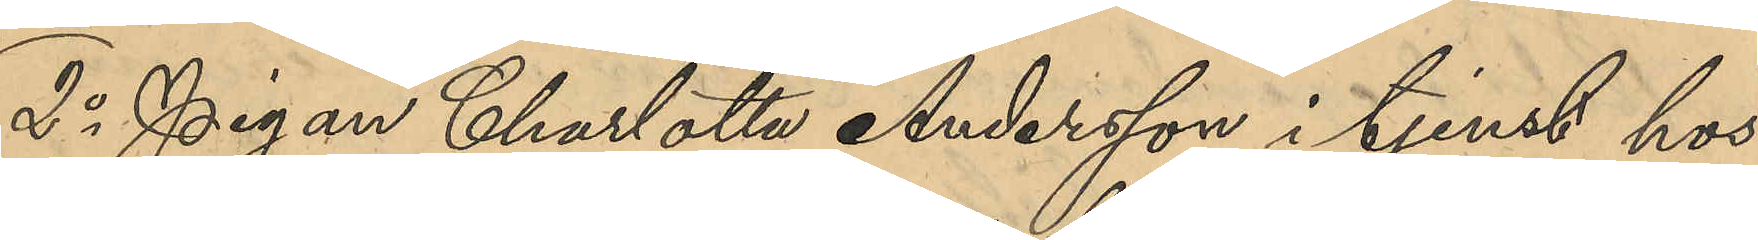2o Pigan Charlotte Andersson i tjenst hos
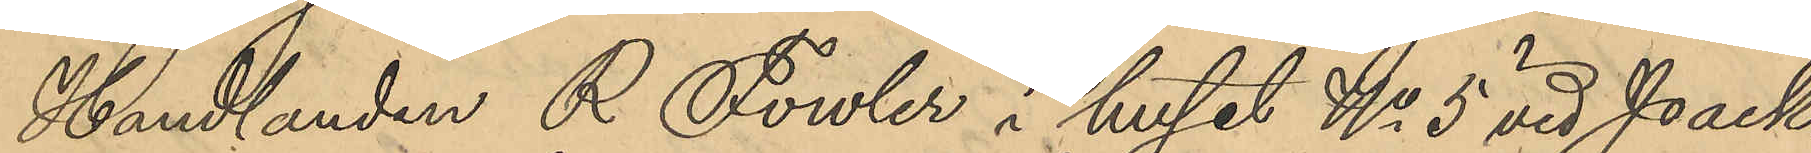Handlanden R Fowler i huset No 5 vid Pack¬
